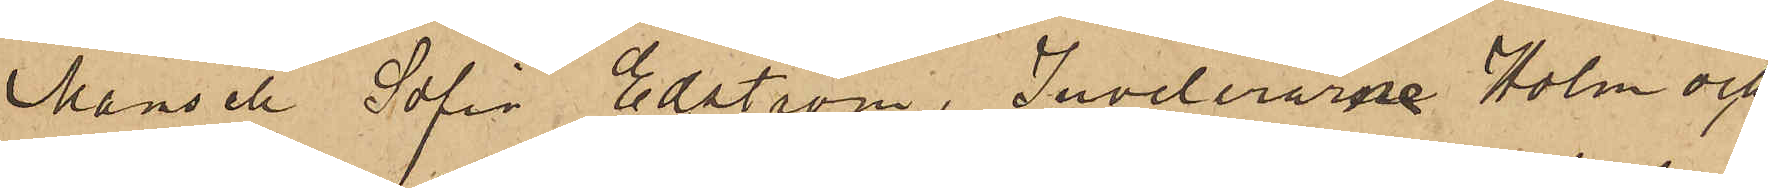Mamsell Sofia Edström, Juvelerarne Holm och
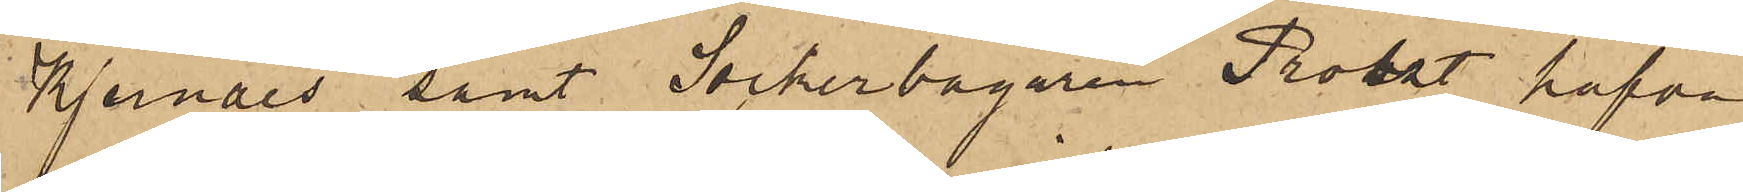Kjernåes, samt Sockerbagaren Probst hafva
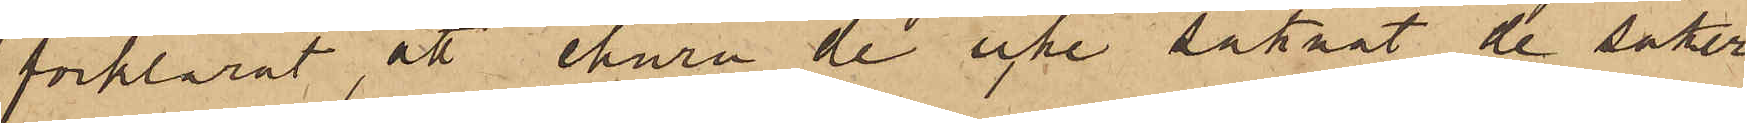förklarat, att ehuru de icke saknat de saker
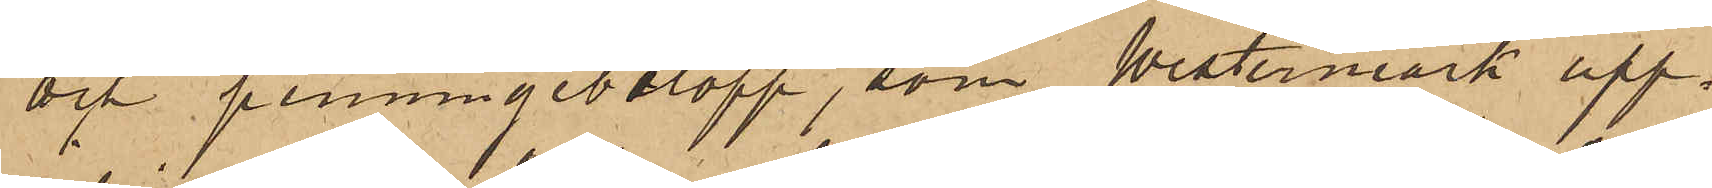och penningebelopp, som Westermark upp¬
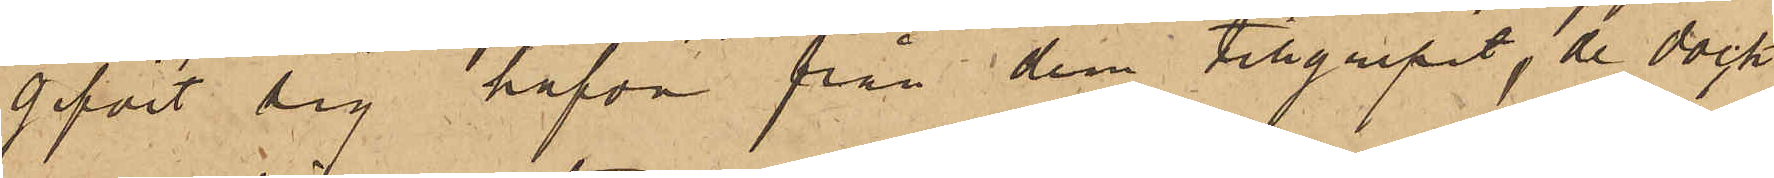gifvit sig hafva från dem tillgripit, de dock
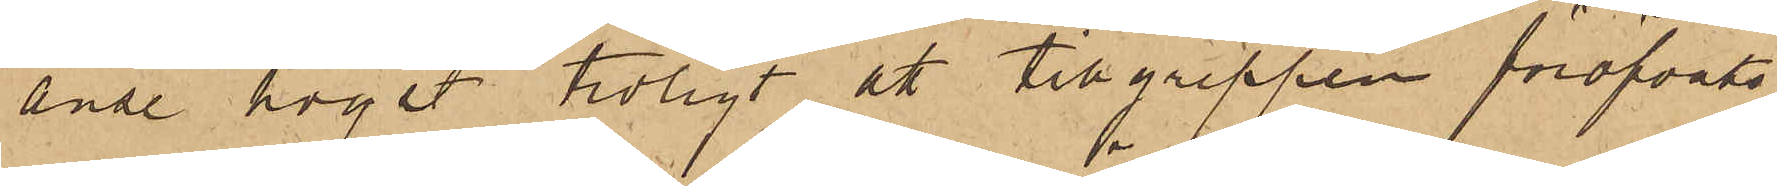anse högst troligt att tillgreppen föröfvats
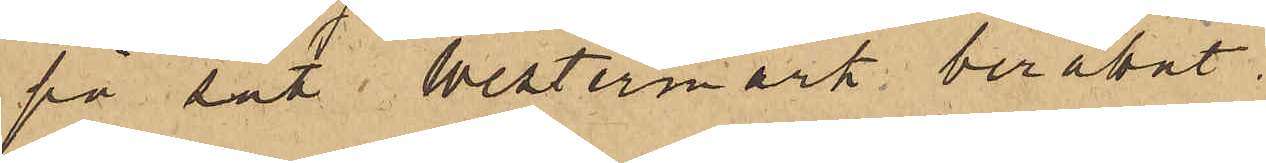på sätt Westermark berättat.
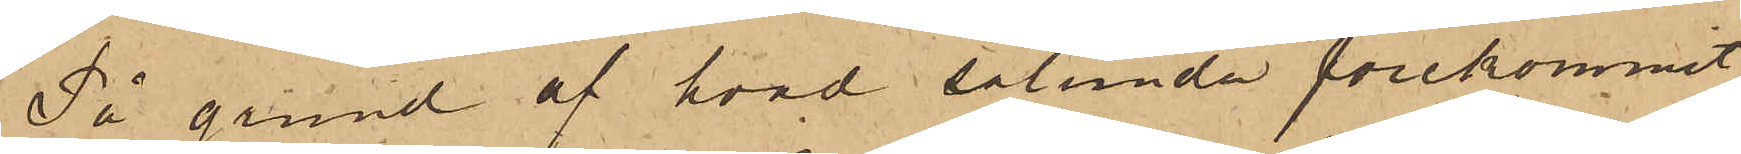På grund af hvad sålunda förekommit,
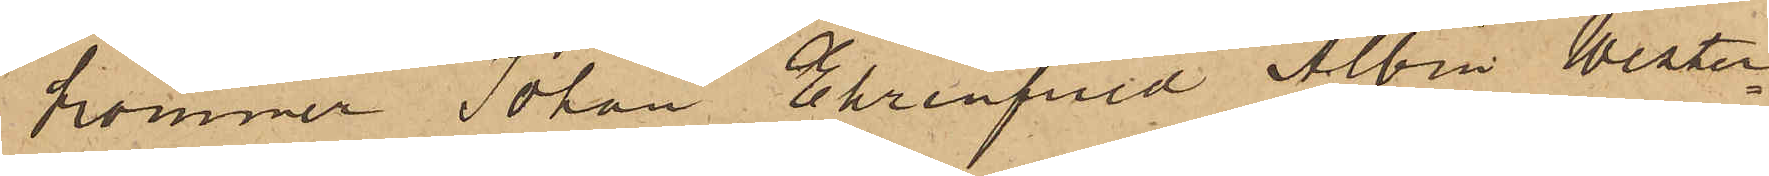kommer Johan Ehrenfried Albin Wester¬
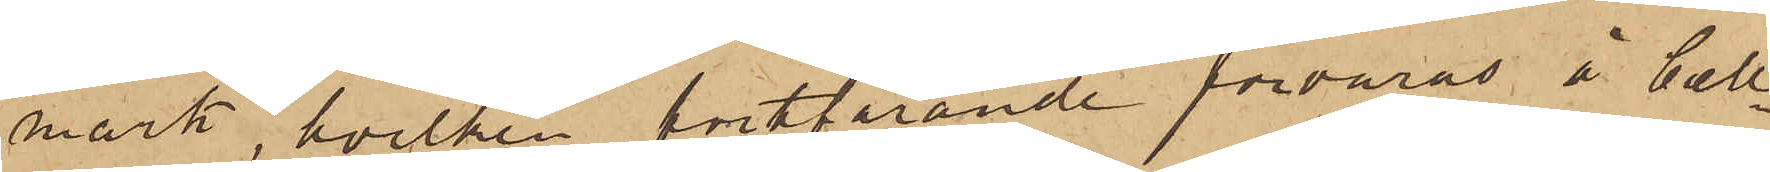mark, hvilken fortfarande förvaras å Cell¬
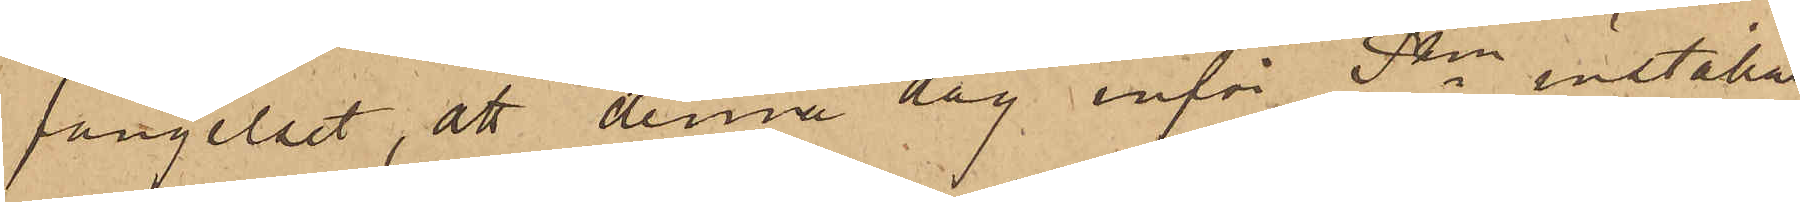fängelset, att denna dag inför Pkn inställas.
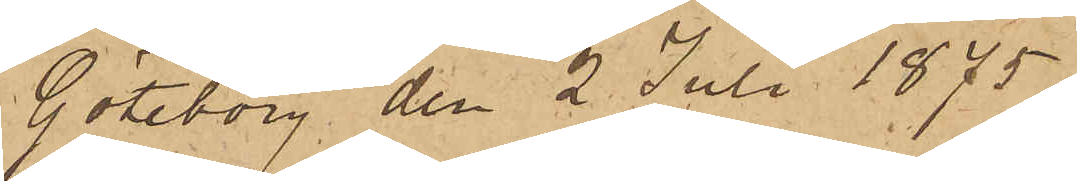Göteborg den 2 Juli 1875.
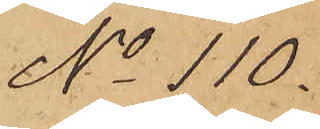No 110.
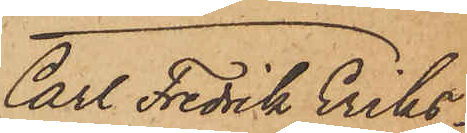Carl Fredrik Eriks¬
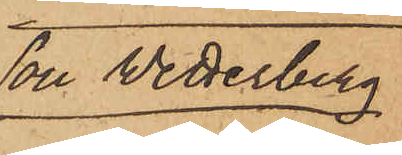son Wetterberg.
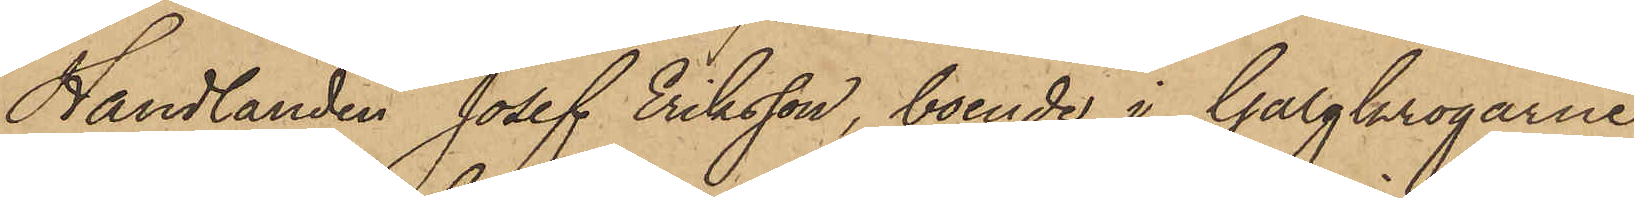Handlanden Josef Eriksson, boende i Galgkrogarne
